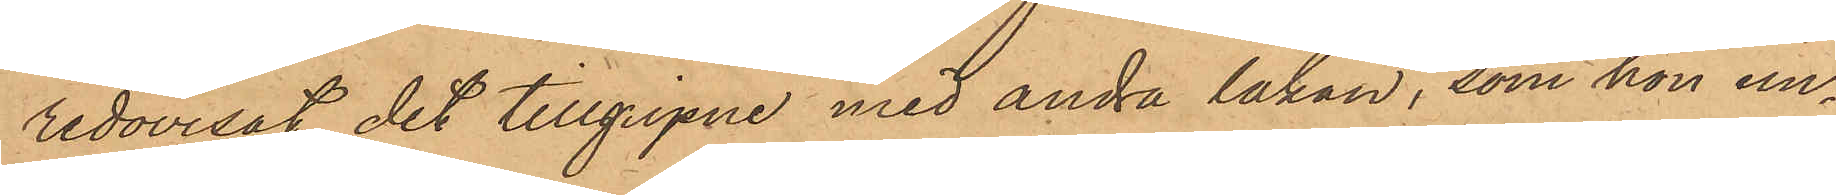redovisat det tillgripne med andra lakan, som hon un¬
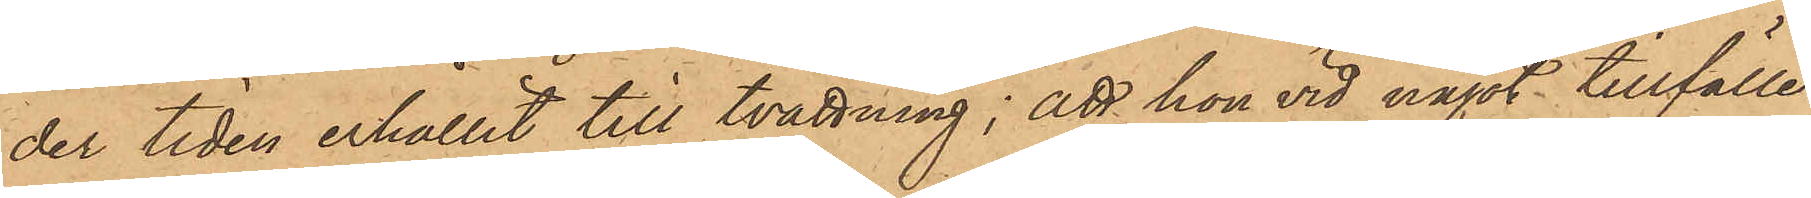der tiden erhållit till tvättning; att hon vid något tillfälle
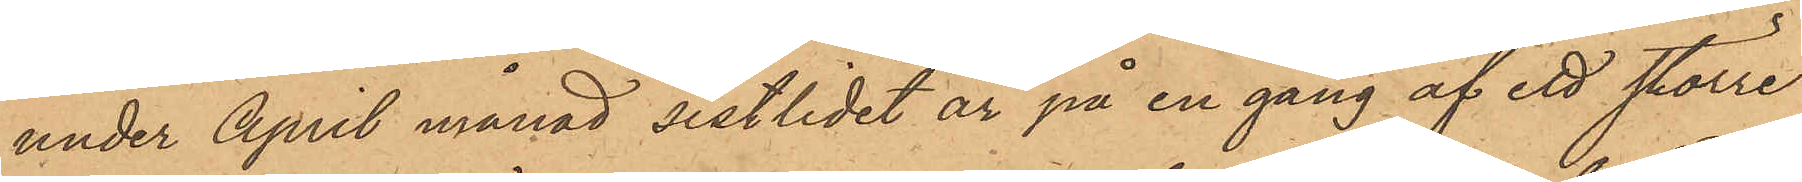under April månad sistlidet år på en gång af ett större
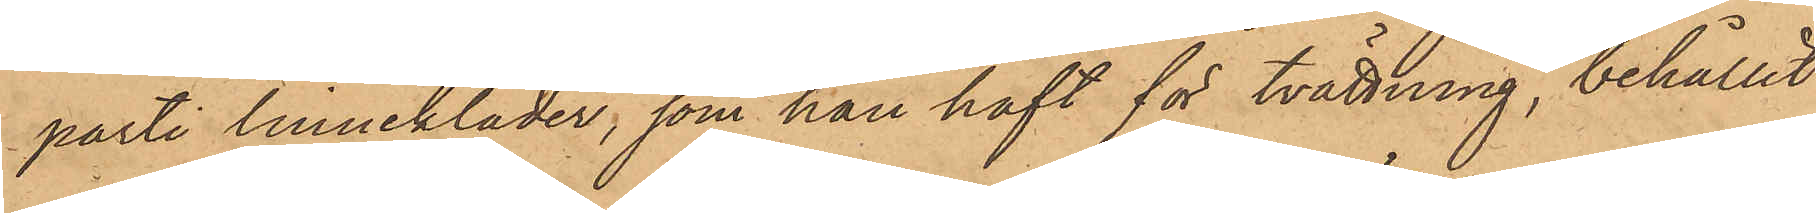parti linnekläder, som hon haft för tvättning, behållit
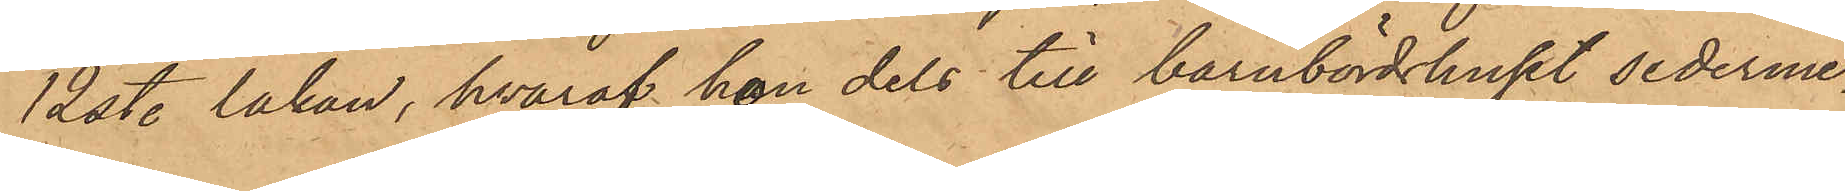12 st. lakan, hvaraf hon dels till barnbördshuset sederme¬
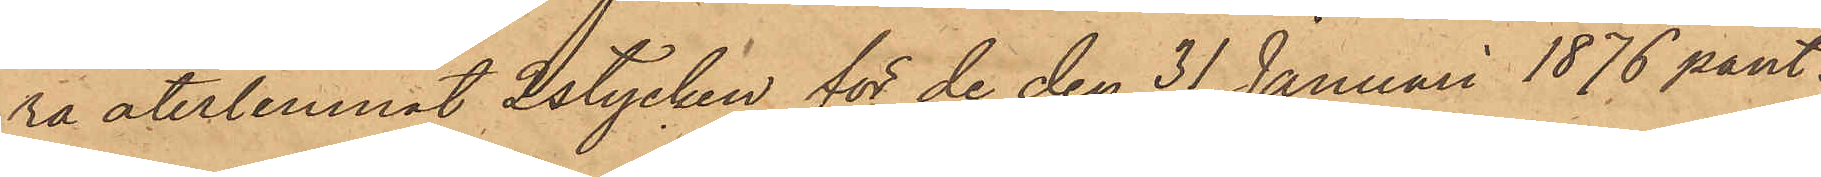ra återlemnat 2 stycken för de den 31 Januari 1876 pant¬
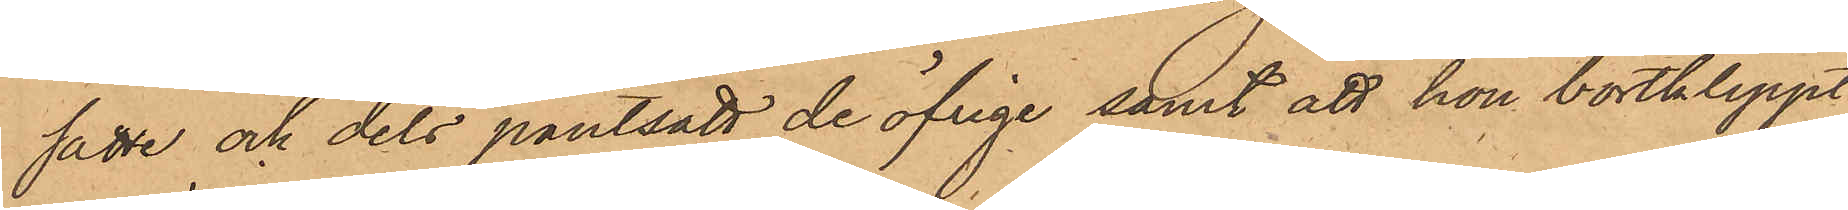satte och dels pantsatt de öfrige samt att hon bortklippt
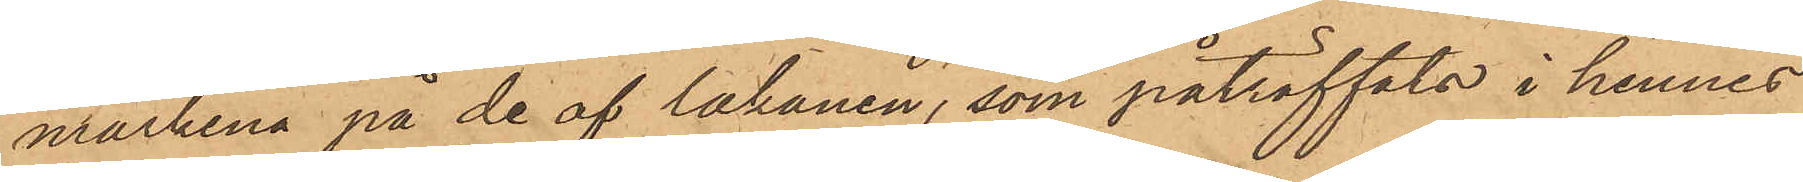märkena på de af lakanen, som påträffats i hennes
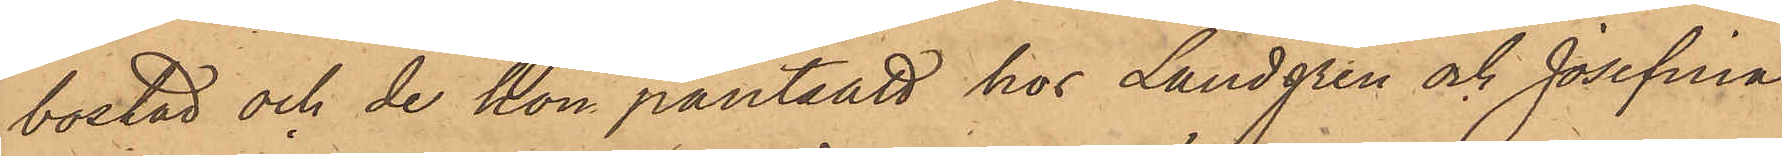bostad och de hon pantsatt hos Lundgren och Josefina
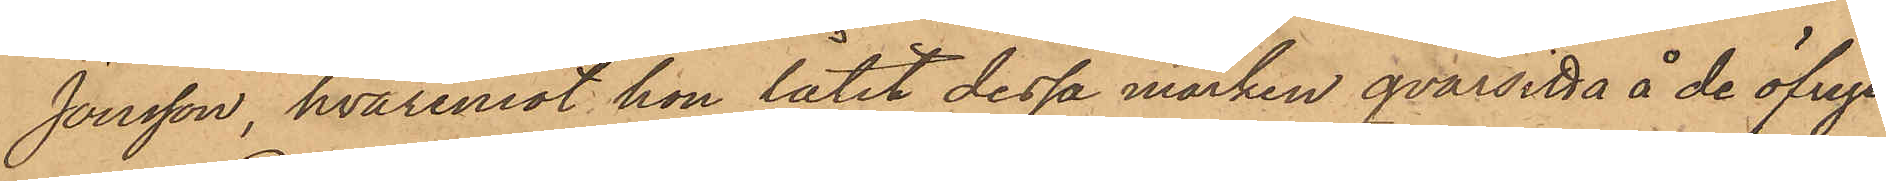Jonsson, hvaremot hon låtit dessa märken qvarsitta å de öfrige.
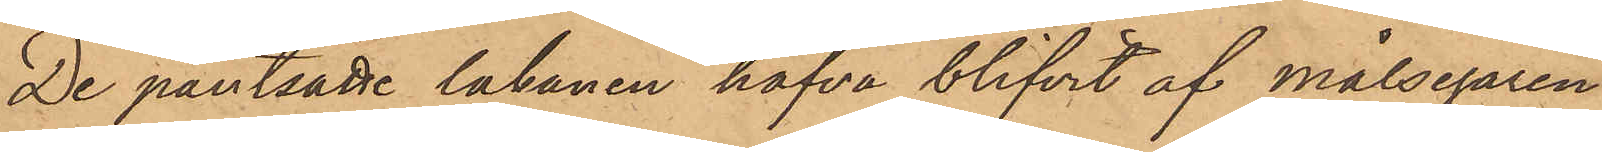De pantsatte lakanen hafva blifvit af målsegaren
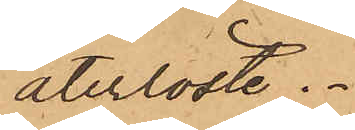återlöste.
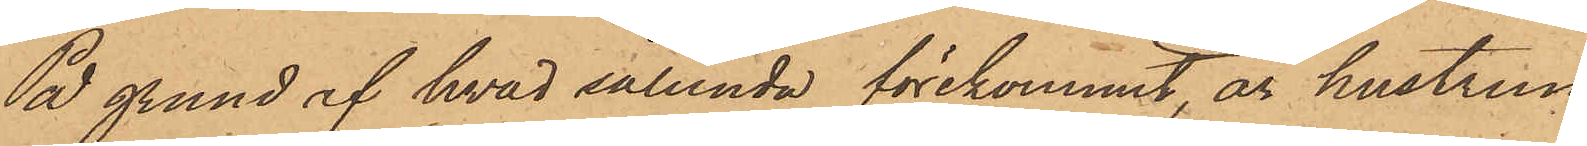På grund af hvad sålunda förekommit, är hustrun
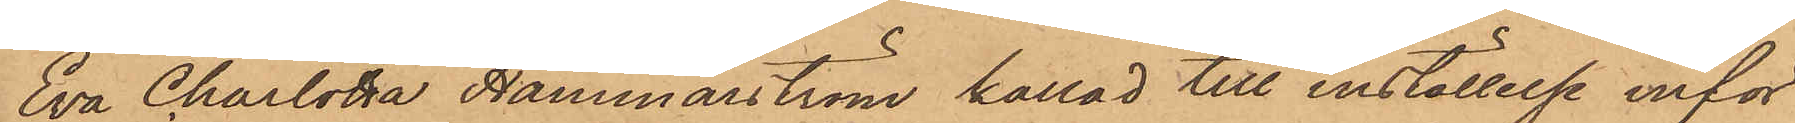Eva Charlotta Hammarström kallad till inställelse inför
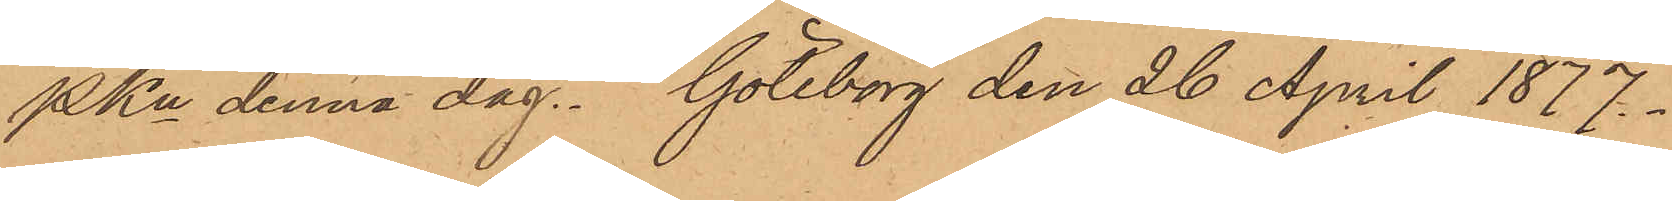PKn denna dag. Göteborg den 26 April 1877.
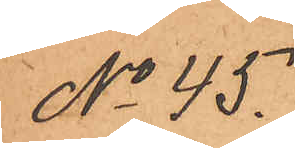No 45.
